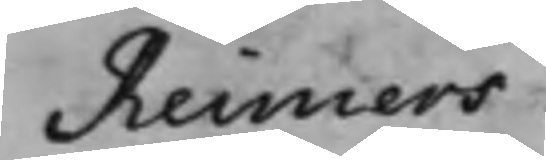Reimers.
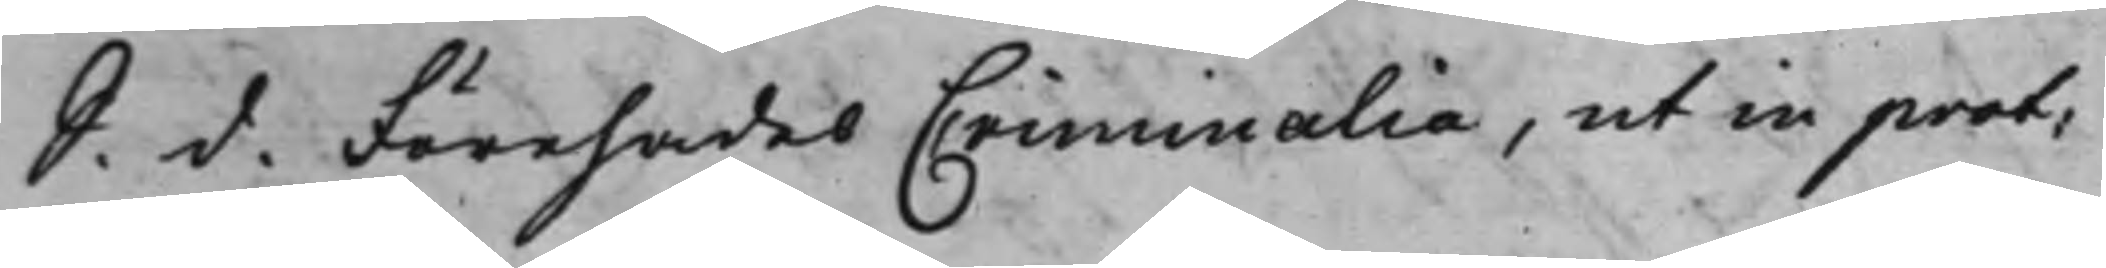S. d. Förehades Criminalia, ut in prot:
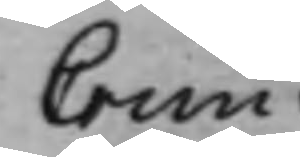Crim:
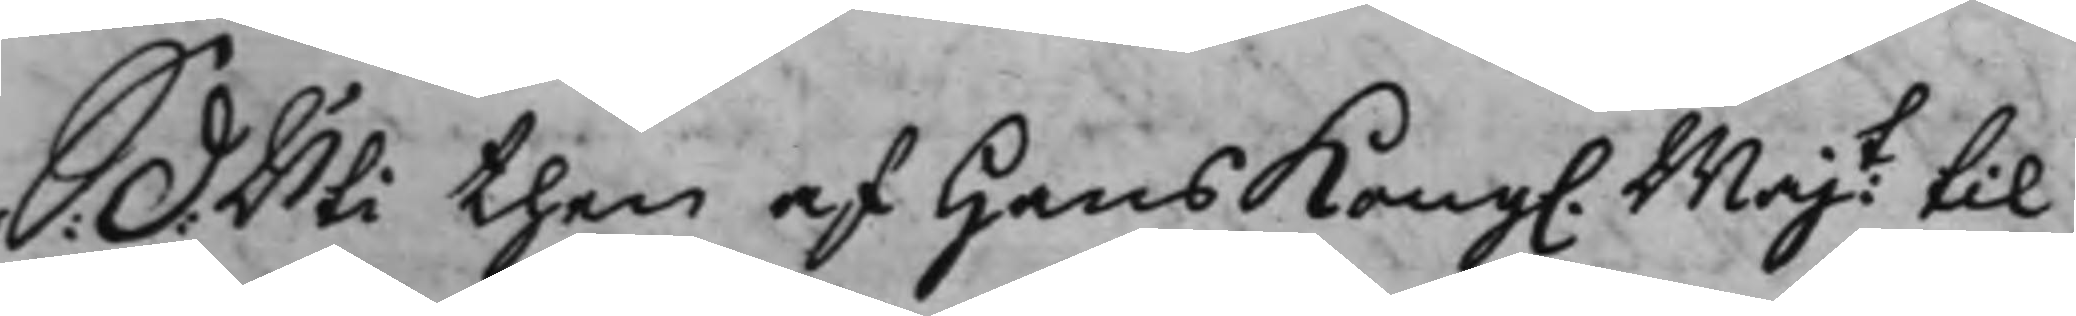S: D: Uti then af Hans Kong. Majt til
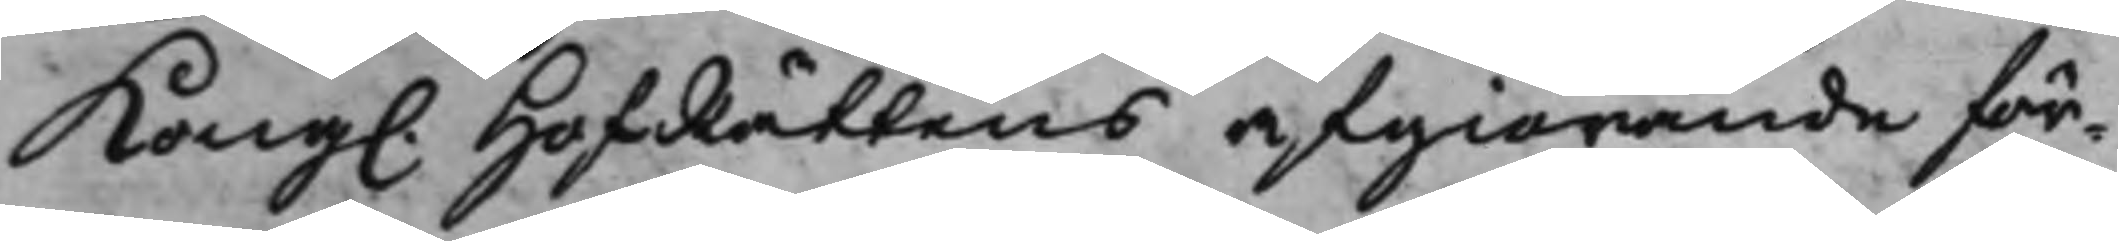Kong. HofRättens afgiörande för¬ 
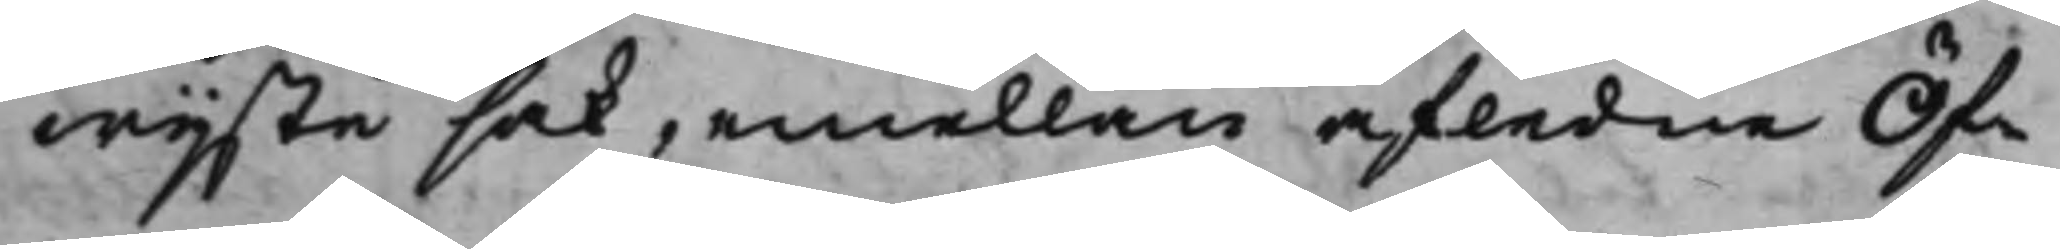wijste sak, emellan afledne Öf¬
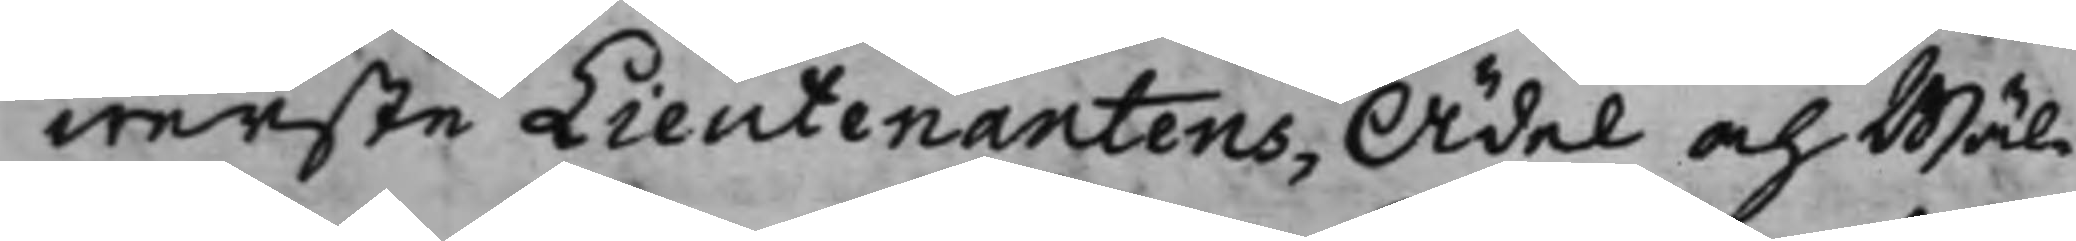werste Lieutenantens, Ädel och Wäl¬
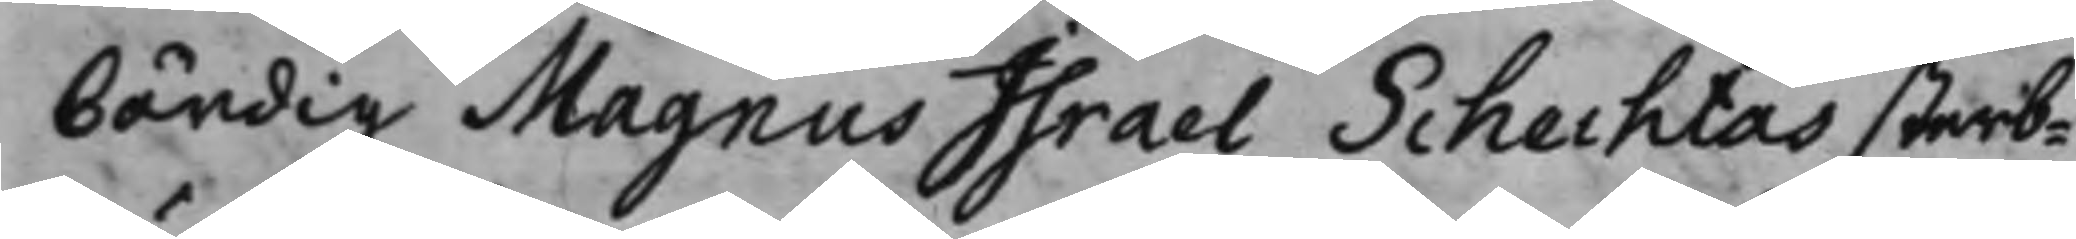bördig Magnus Israel Schechtas sterb¬
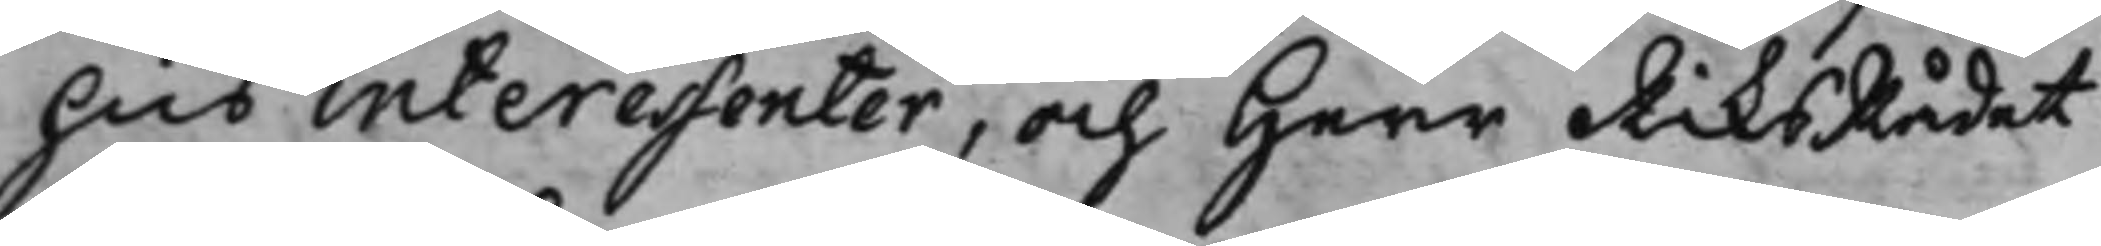hus interessenter, och Herr RiksRådet
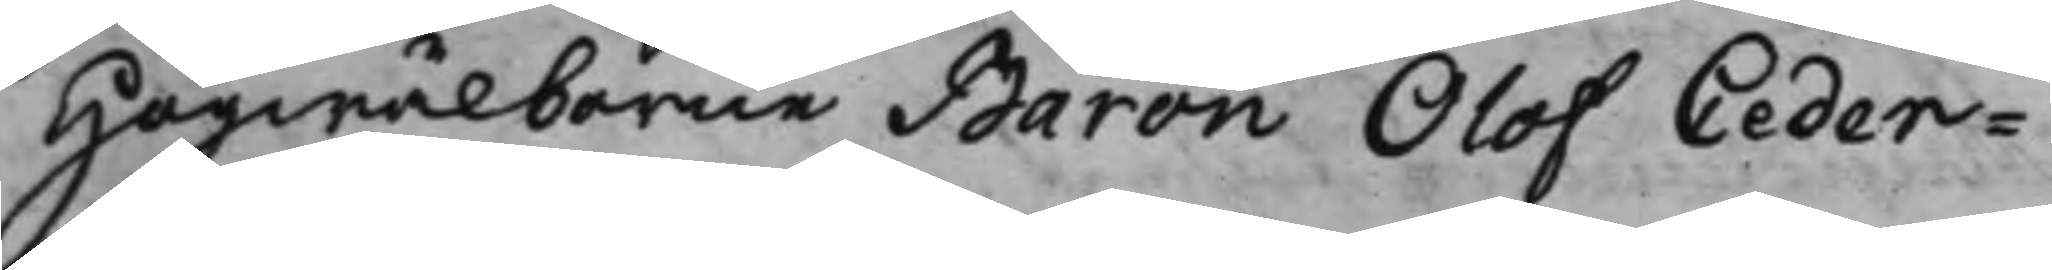Högwälborne Baron Olof Ceder¬
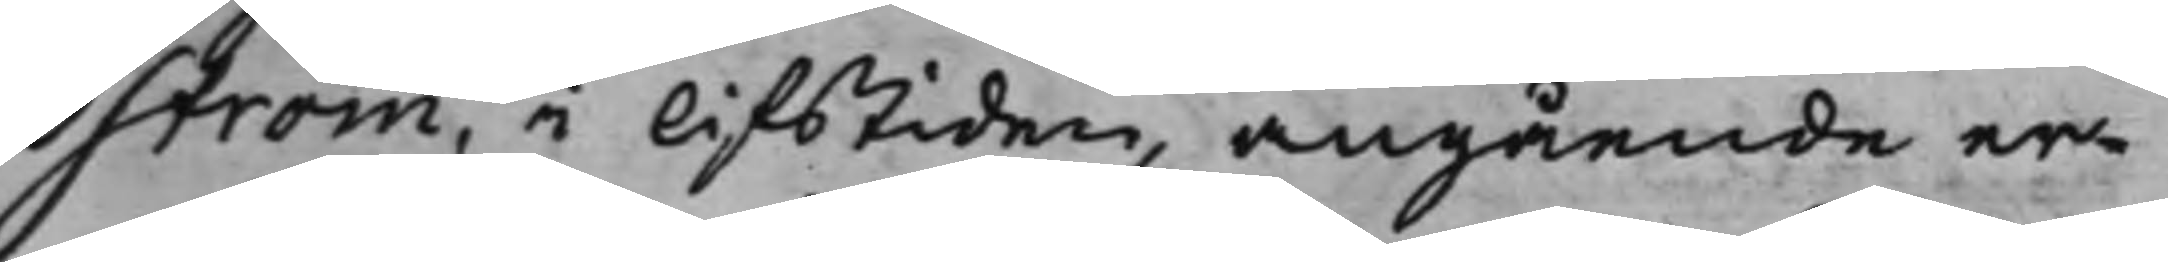ström, i lifstiden, angående er¬
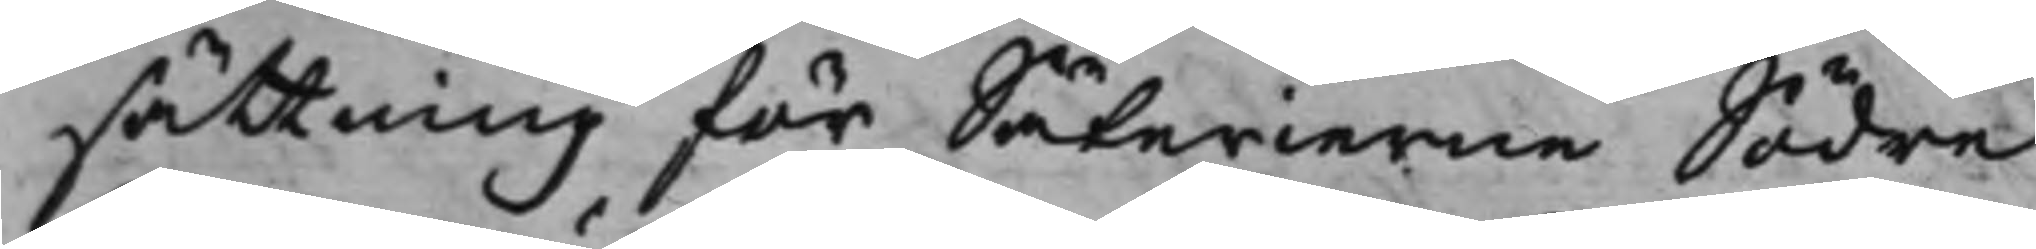sättning för Säterierne Södre
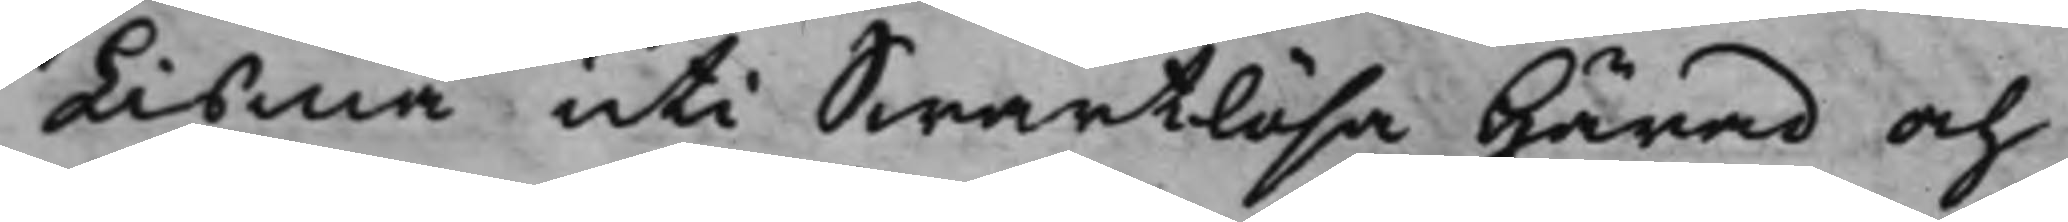Lisma uti Swartlösa Härad och
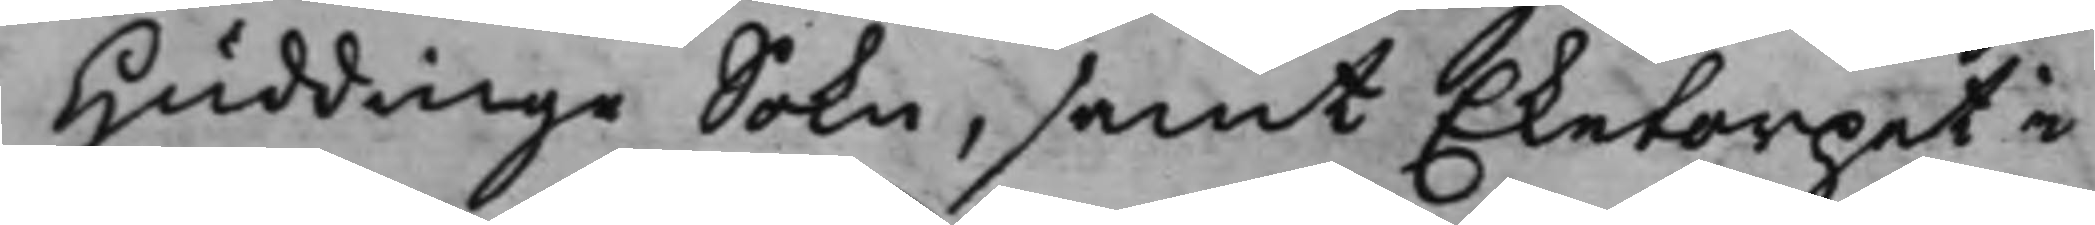Huddinge Sokn, samt Eketorpet i
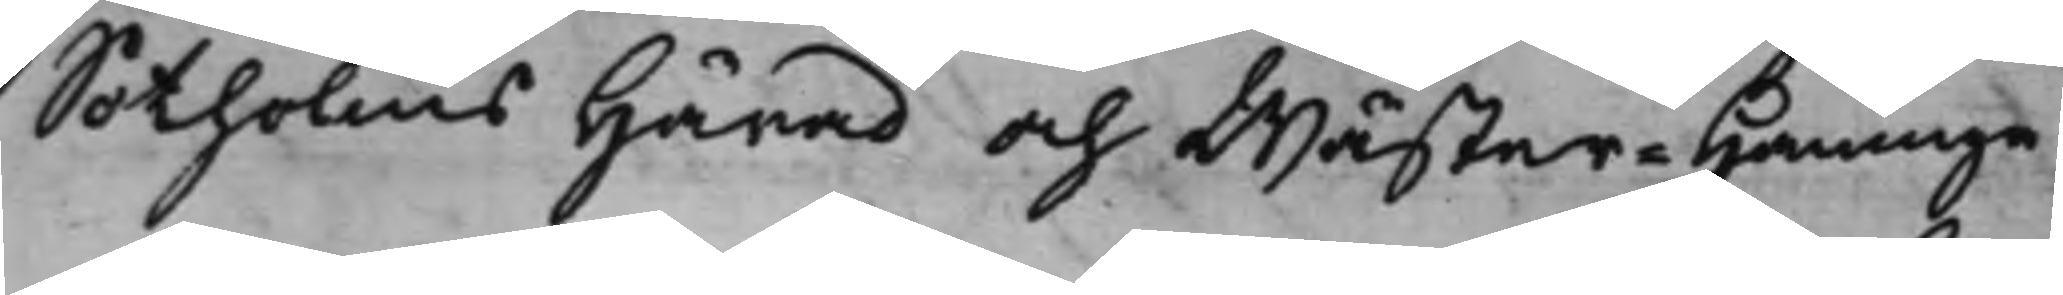Sotholms Härad och Wäster-Haninge
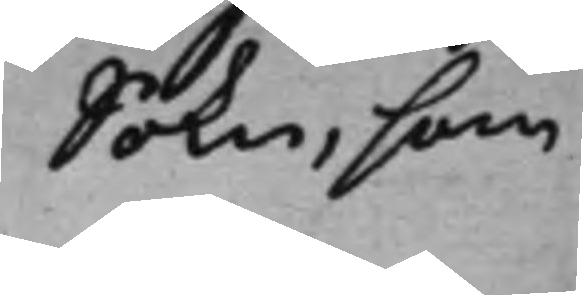Sokn, som
